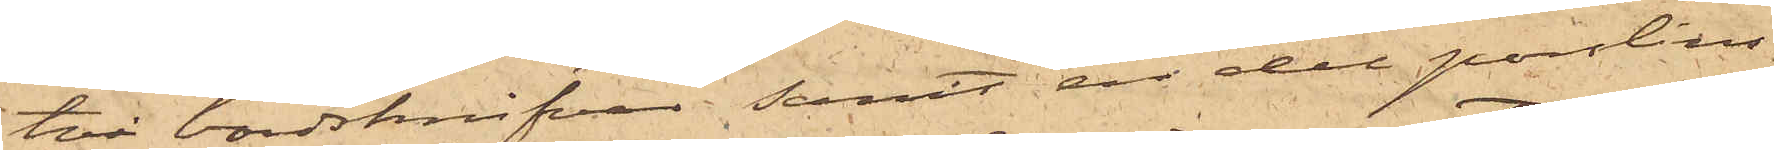två bordsknifvar; samt en del porslins¬
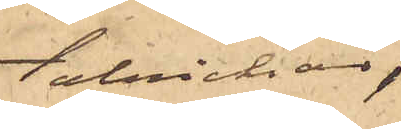tallrickar,
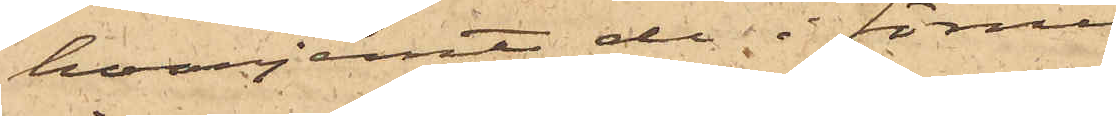hvarjemte de i förrummet
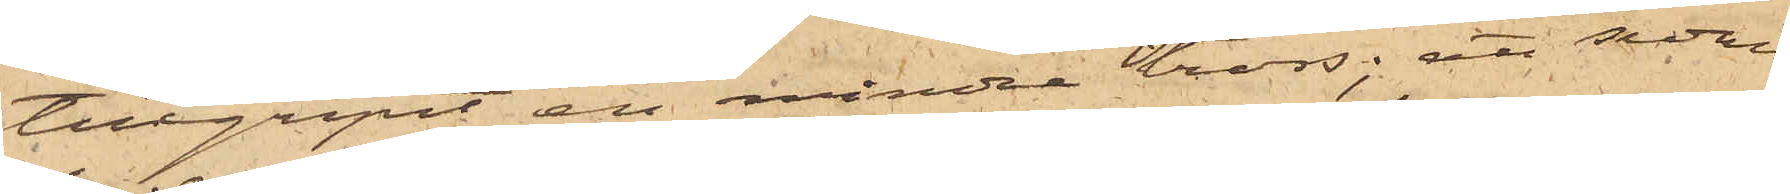tillgripit en mindre tross; att sedan
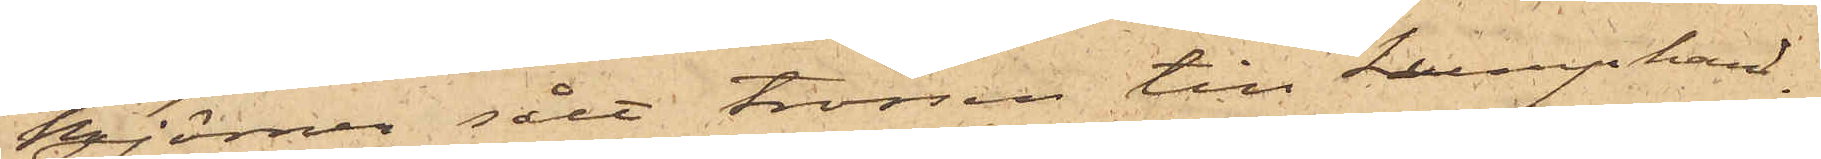Björner sålt trossen till Lumphand¬
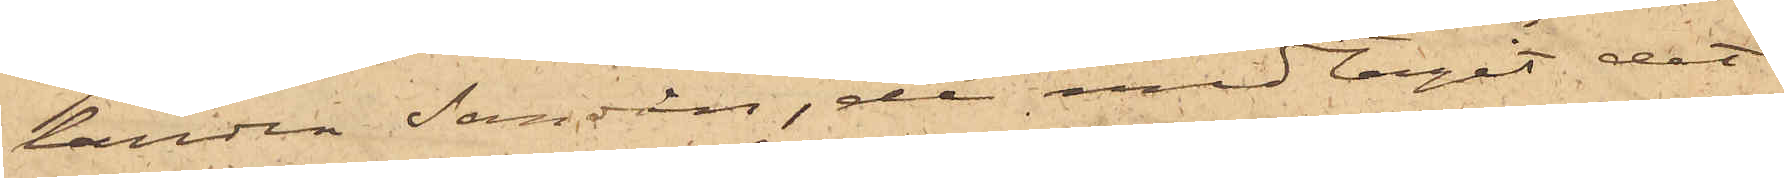landen Sandin,  de medtagit det
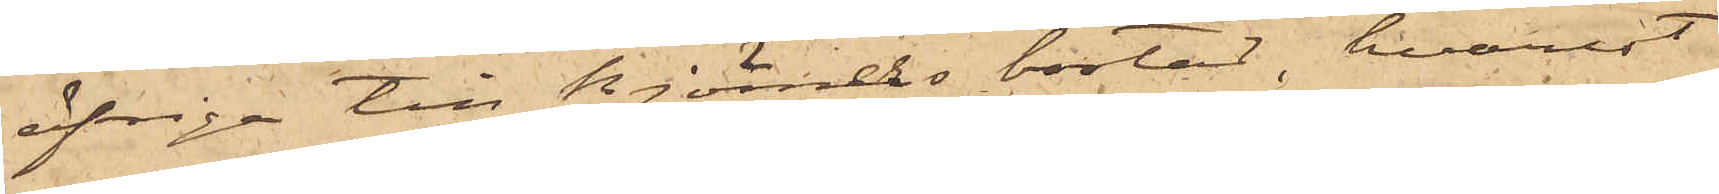öfriga till Björners bostad, hvarest
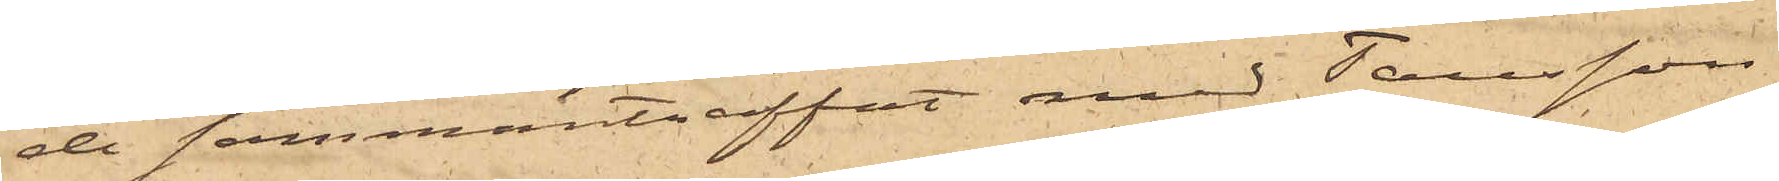de sammanträffat med Tausson
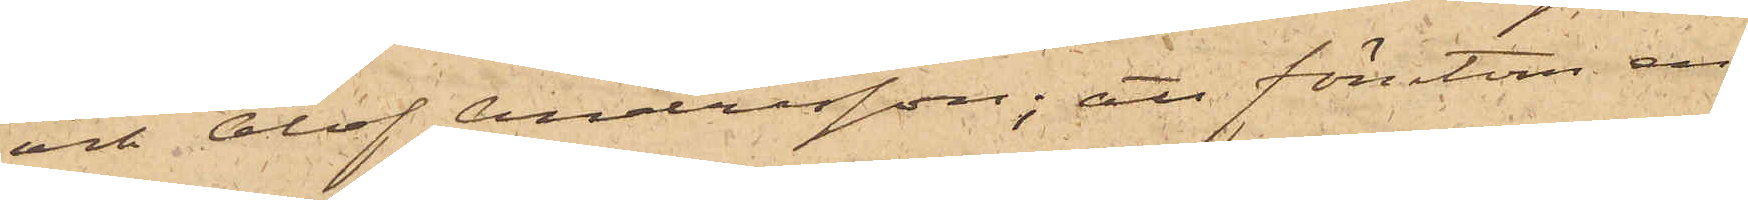och Olof Andersson; att förutom en
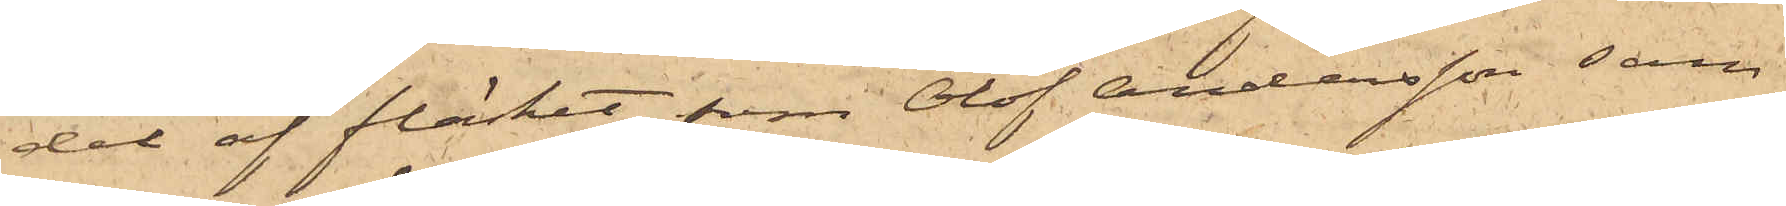del af fläsket, som Olof Andersson sam¬
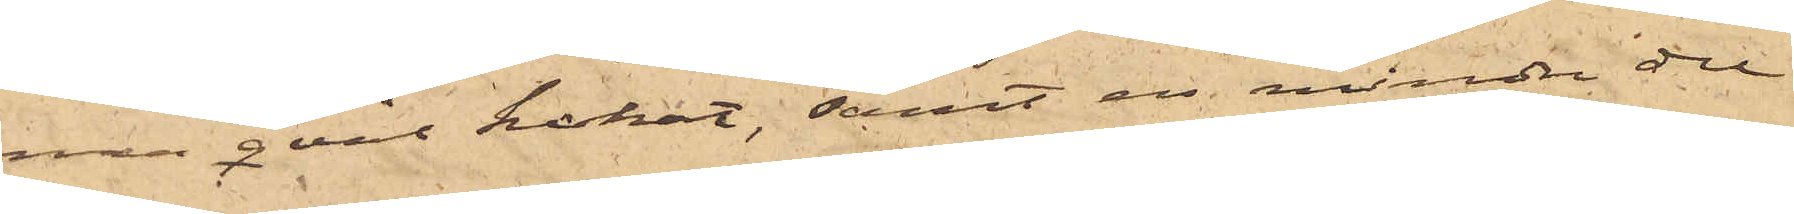ma qväll kokat, samt en mindre del
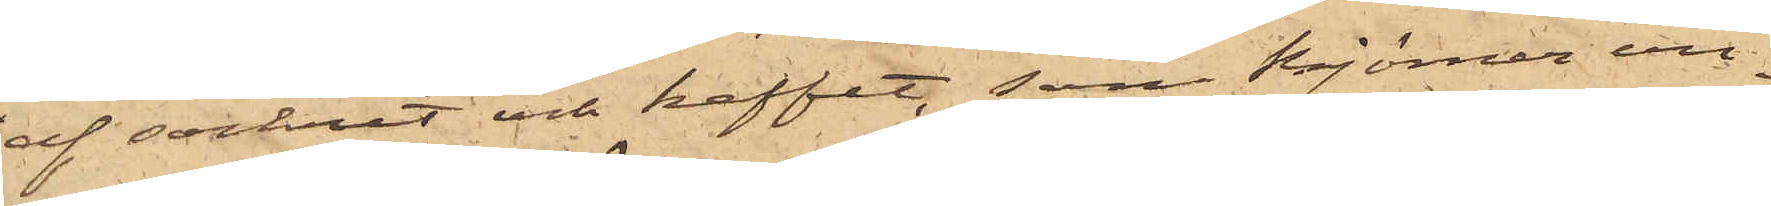af sockret och kaffet, som Björner un¬
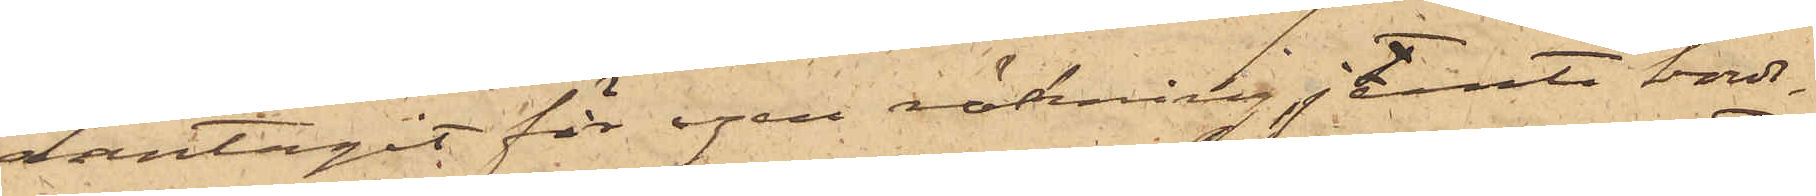dantagit för egen räkning, jemte bords¬
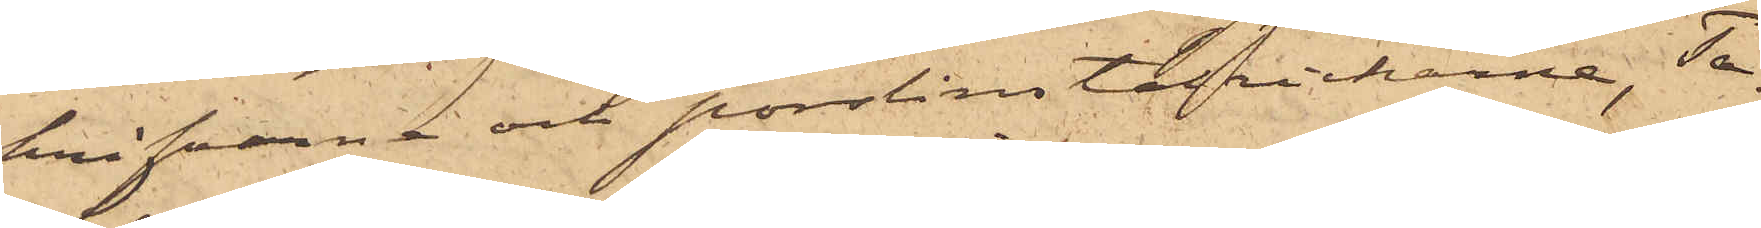knifvarne och porslinstallrickarne, Taus¬
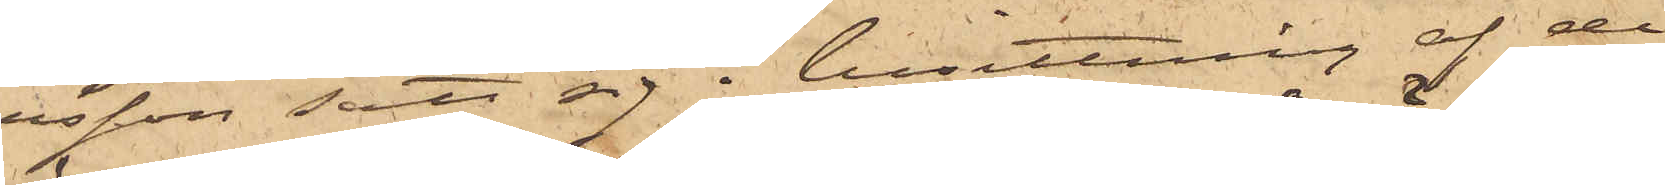son satt sig i besittning af de
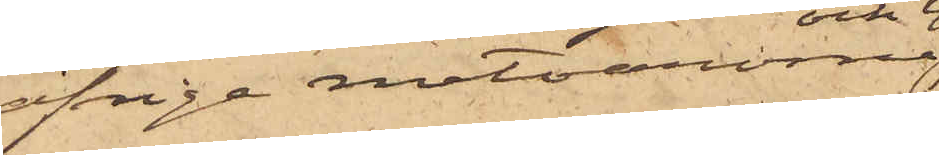öfrige matvarorna
